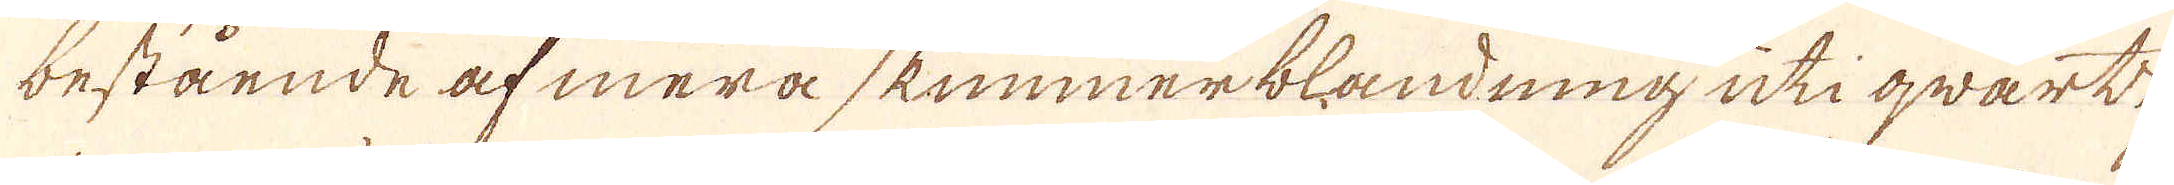bestående af mera skimmerblandning uti qwartz
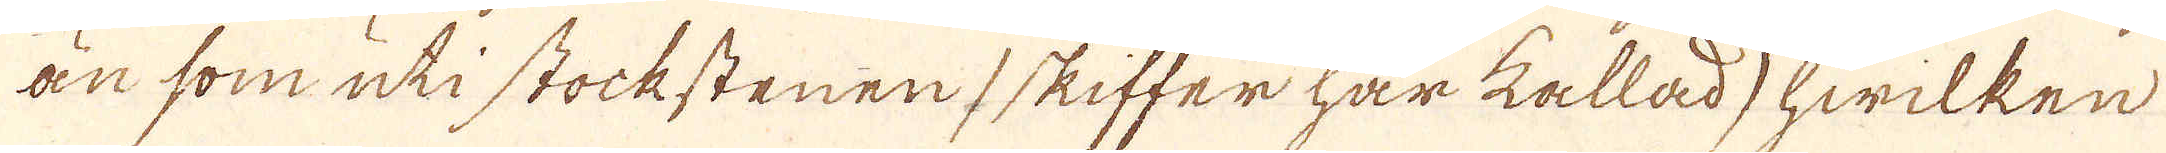än som uti stockstenen (skiffer här kallad) hwilken
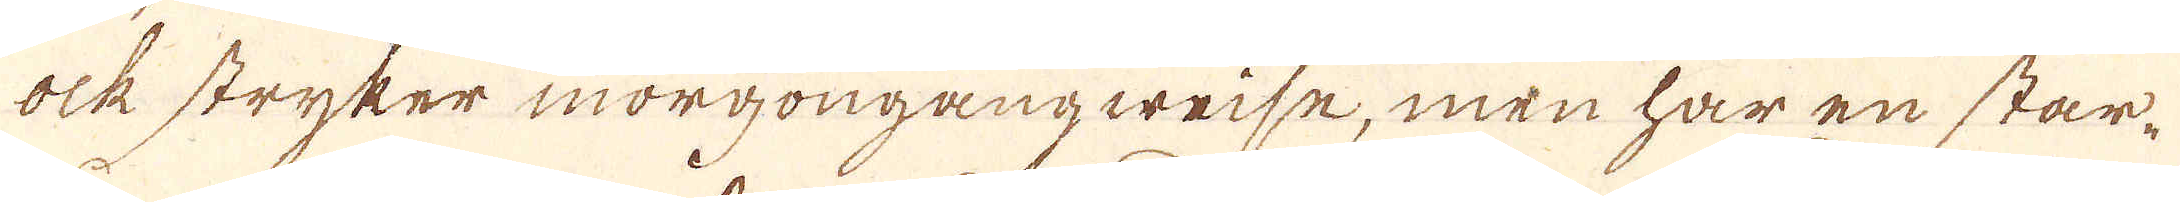ock stryker morgongangweise, men har en star-
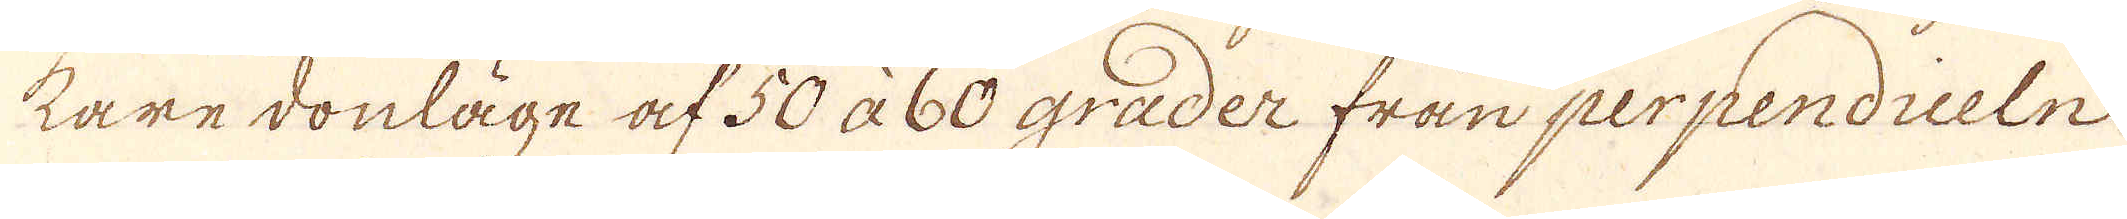kare donläge af 50 à 60 grader från perpendiceln
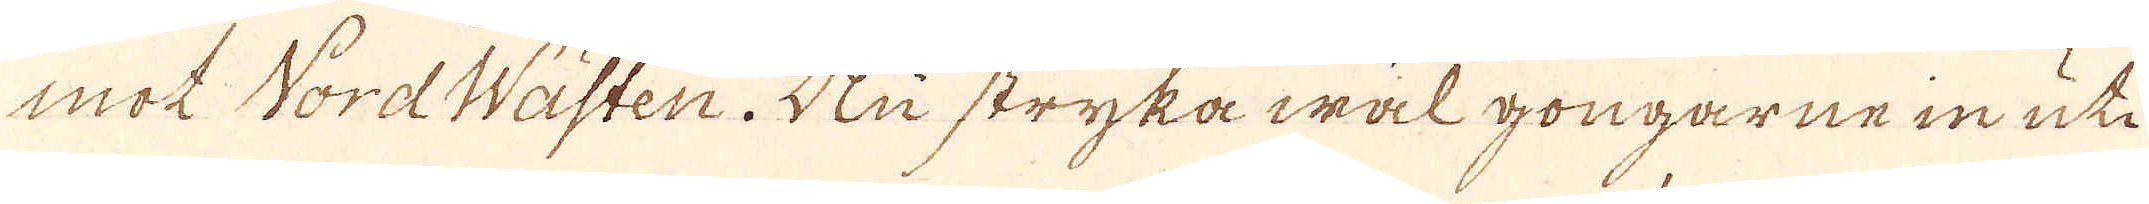mot Nord Wästen. Nu stryka wäl gongarne in uti
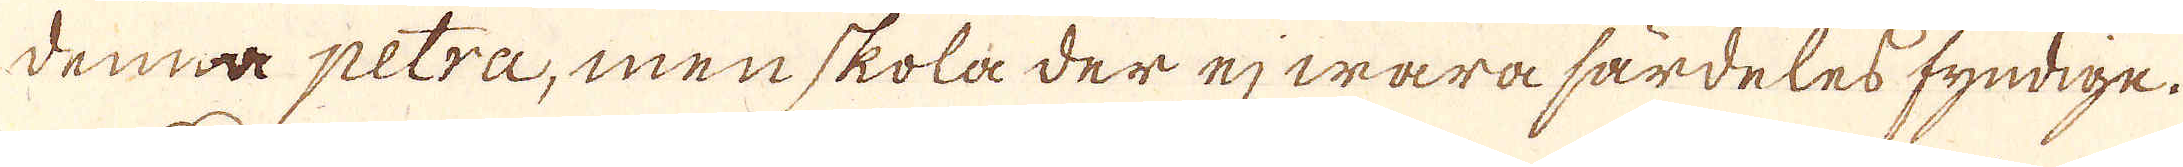denna petra, men skola der ej wara särdeles fyndige.
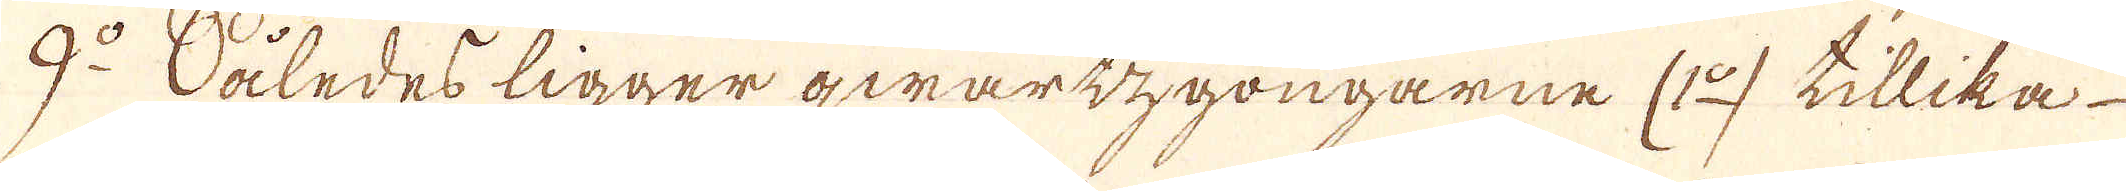9:o Således ligger qwartzgongarne (1o) tillika
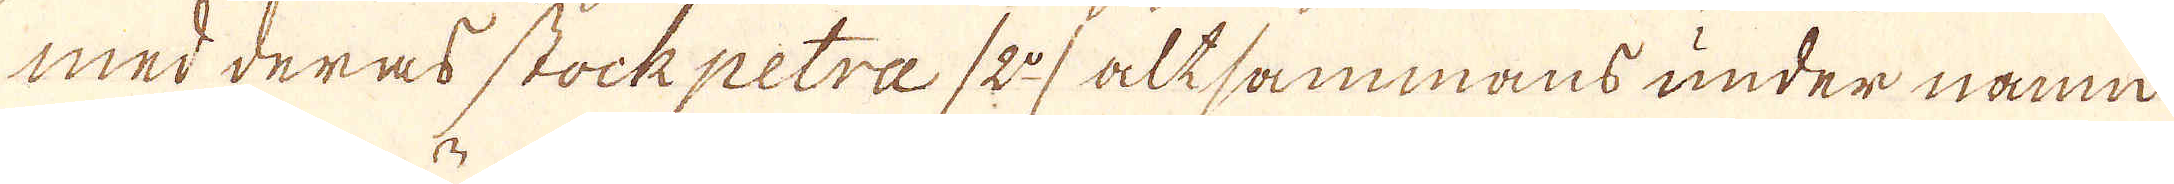med deras stockpetra /2:o/ altsammans under namn
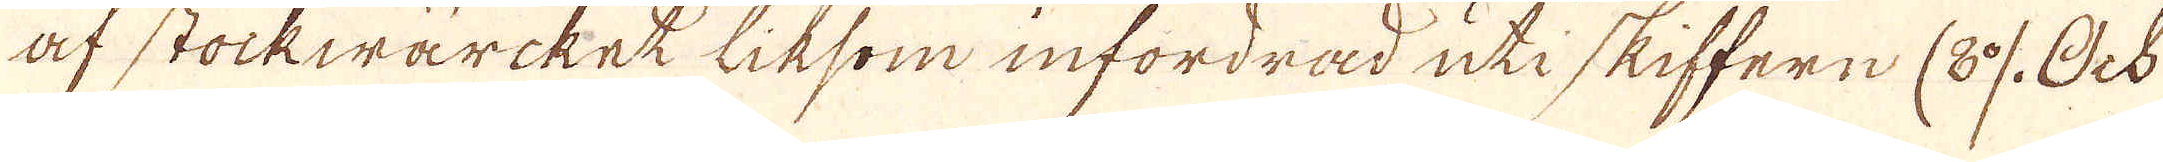af stockwärcket liksom infordrad uti skiffern /8:0/. Ock
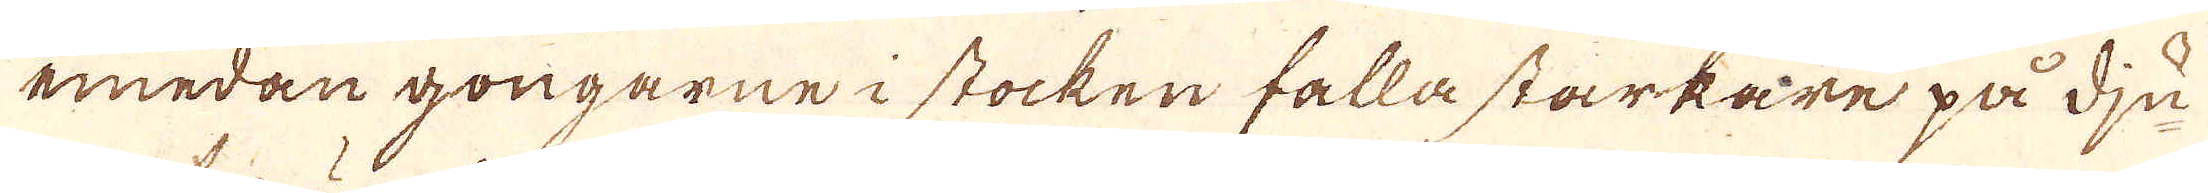emedan gongarne i stocken falla starkare på dju-
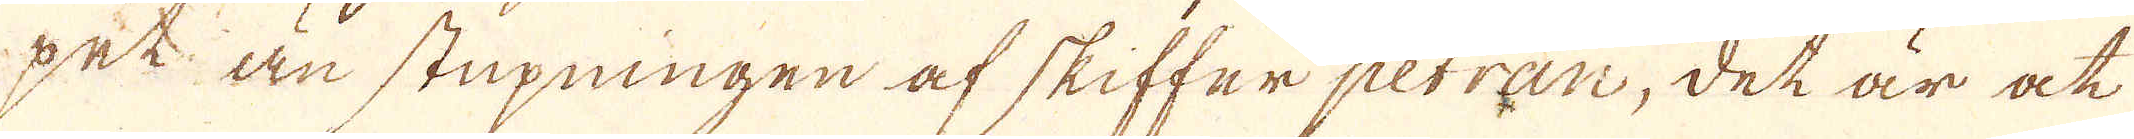pet än stupningen af skifferpetran, det är at
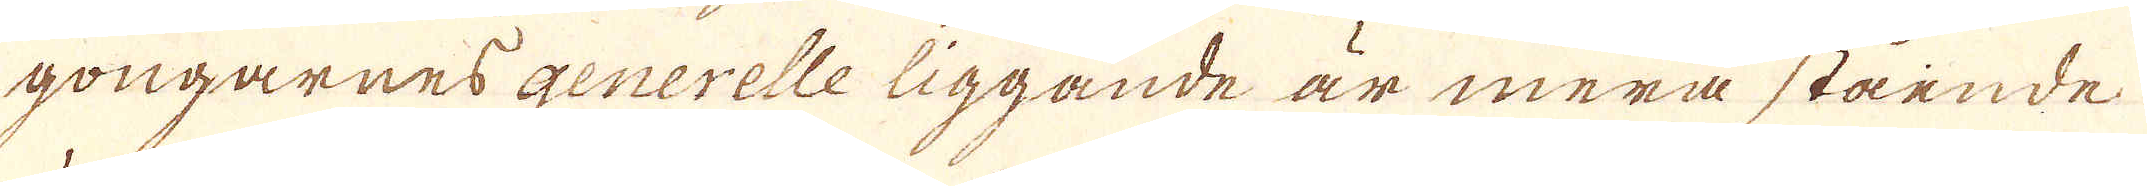gongarnes generelle liggande är mera stående
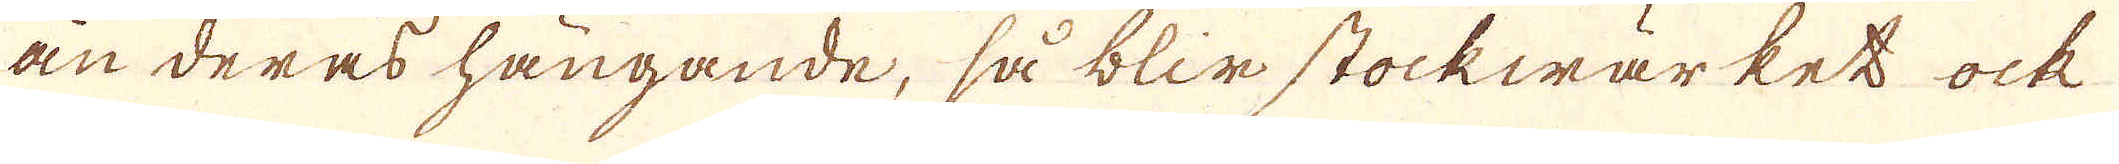än deras hängande, så blir Stockwärket ock
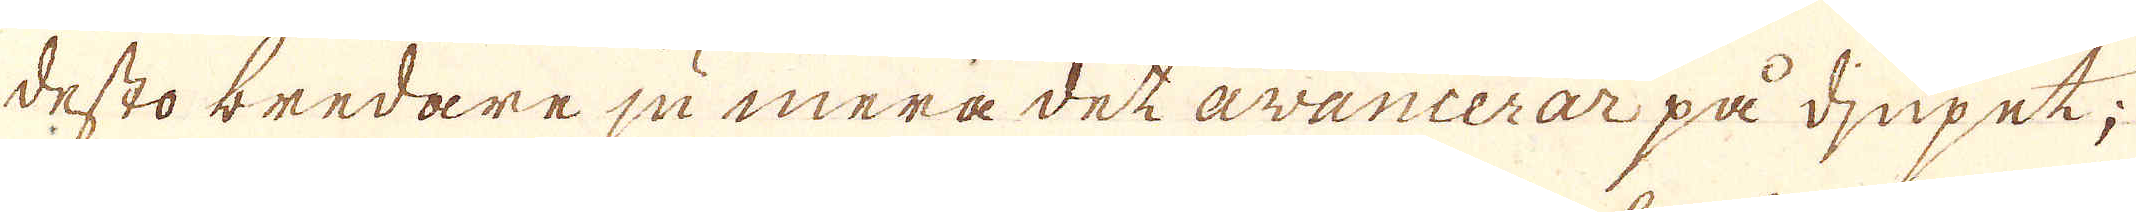desto bredare ju mera det avancerar på djupet;
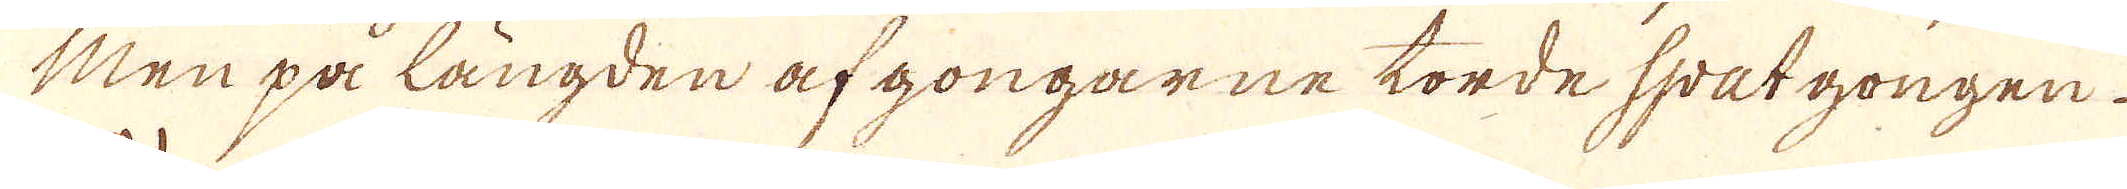Men på längden af gongarne torde spatgongen.
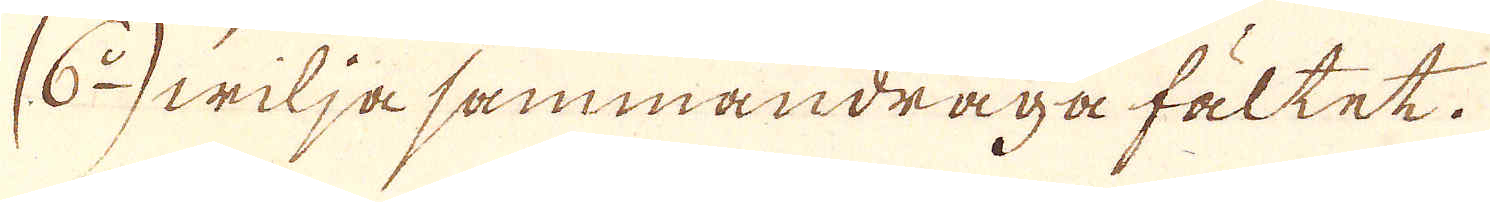(6:o) wilja sammandraga fältet.
